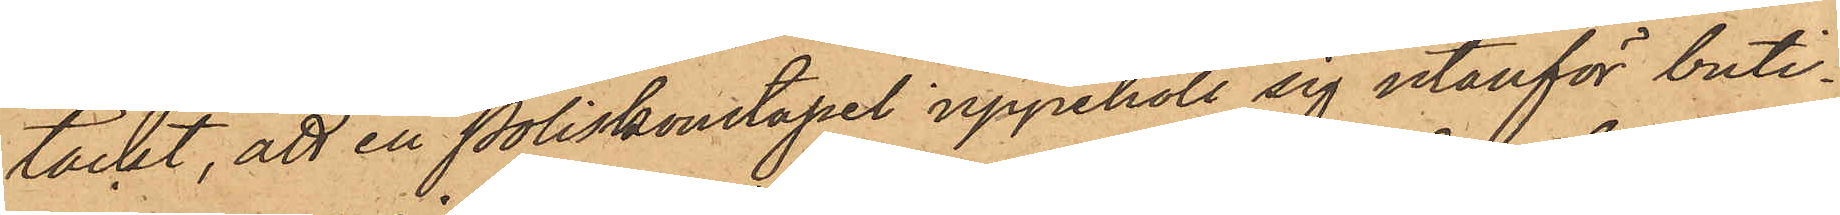täckt, att en Poliskonstapel uppehöll sig utanför buti¬
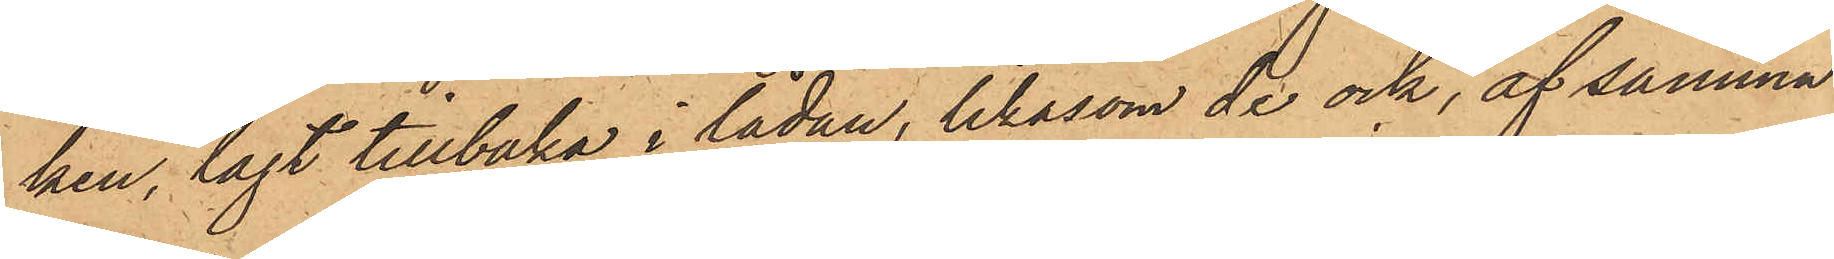ken, lagt tillbaka i lådan, likasom de ock, af samma
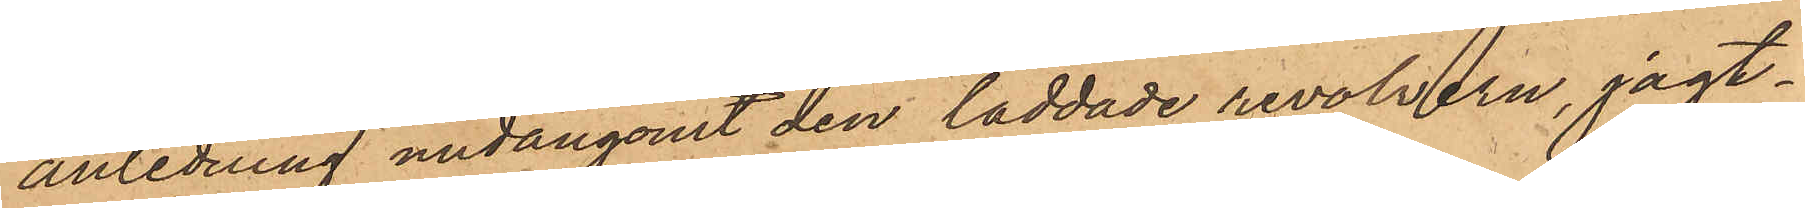anledning undangömt den laddade revolvern, jagt¬
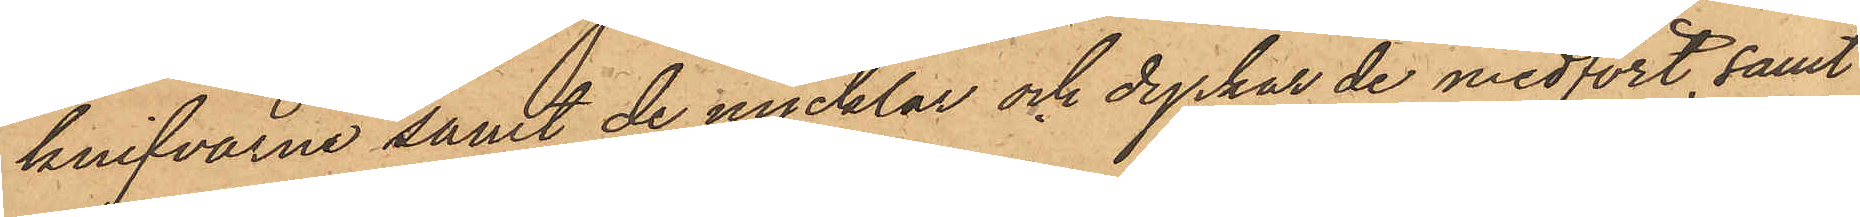knifvarne samt de nycklar och dyrkar de medfört, samt
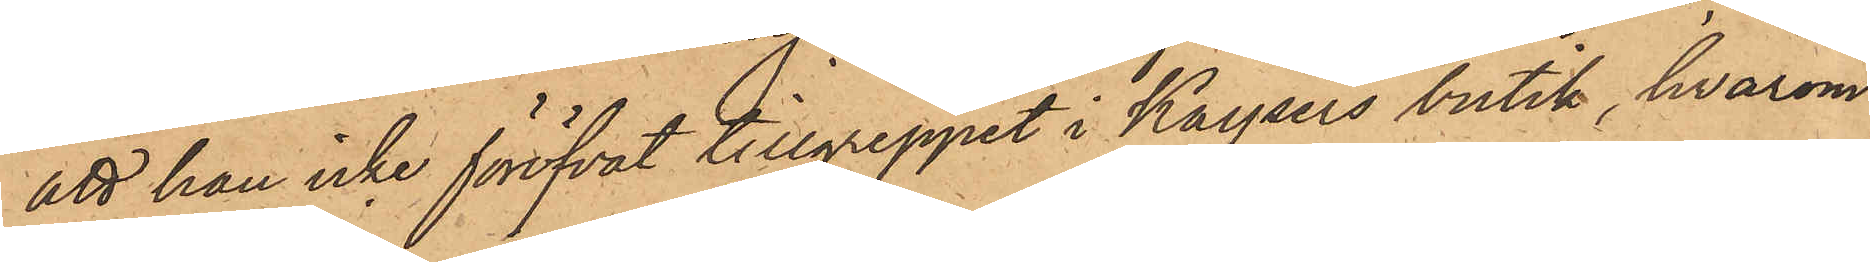att han icke föröfvat tillgreppet i Kaysers butik, hvarom
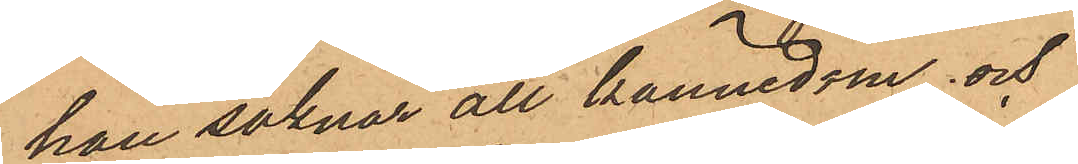han saknar all kännedom, och
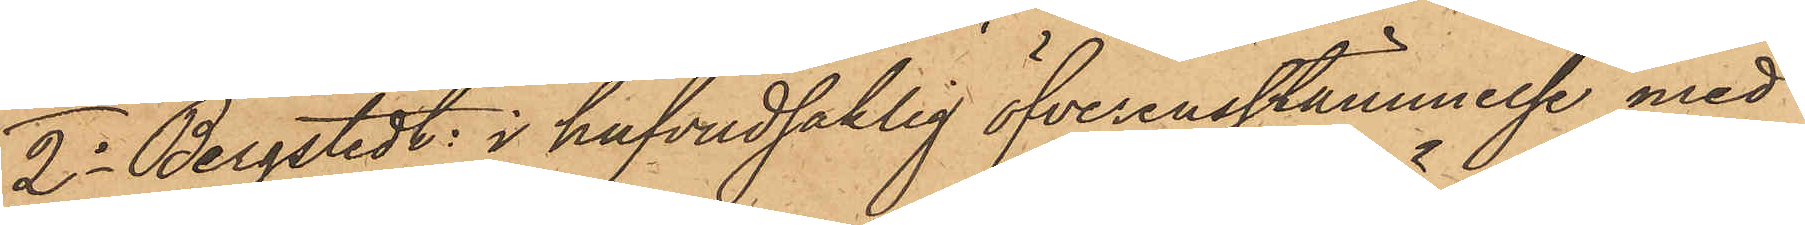2o Bergstedt: i hufvudsaklig öfverensstämmelse med
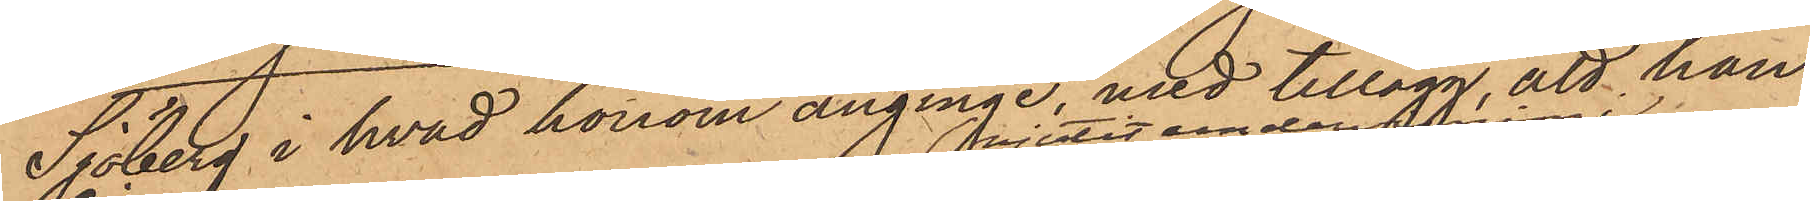Sjöberg i hvad honom anginge, med tillägg, att han
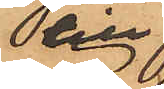till
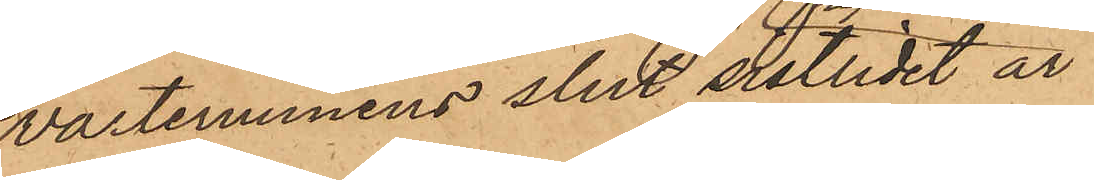vårterminens slut sistlidet år
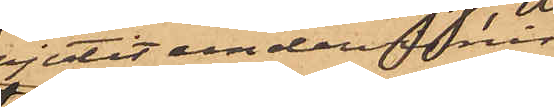njutit undervisning i
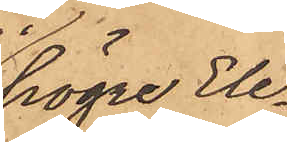högre Ele¬
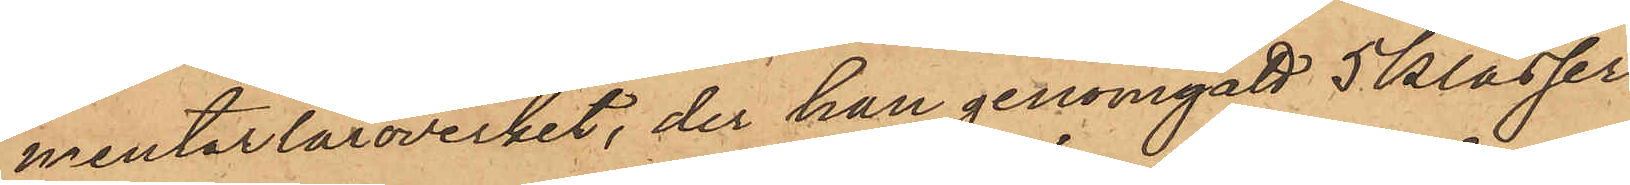mentarläroverket, der han genomgått 5 klasser
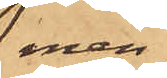men
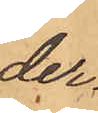der¬
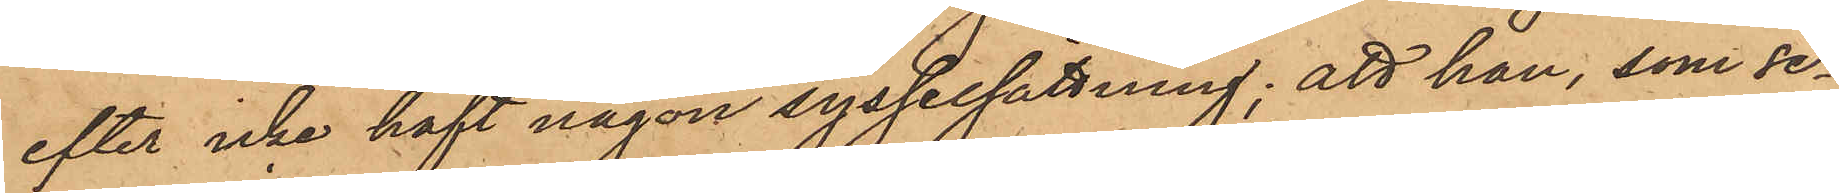efter icke haft någon sysselsättning; att han, som se¬
